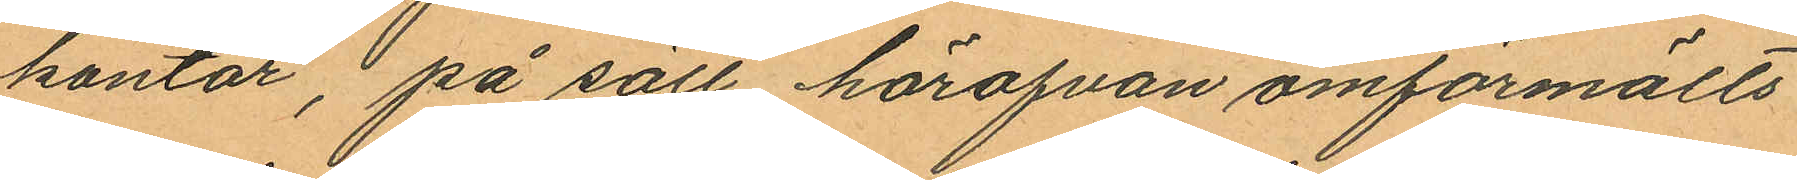kontor, på sätt härofvan omförmälts.
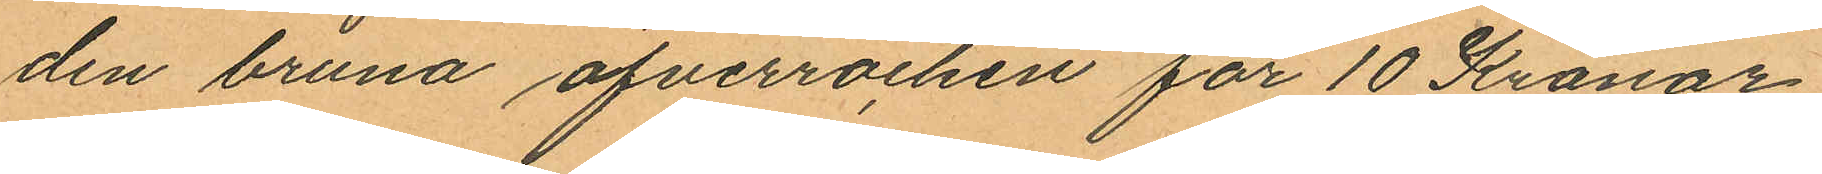den bruna öfverrocken för 10 Kronor
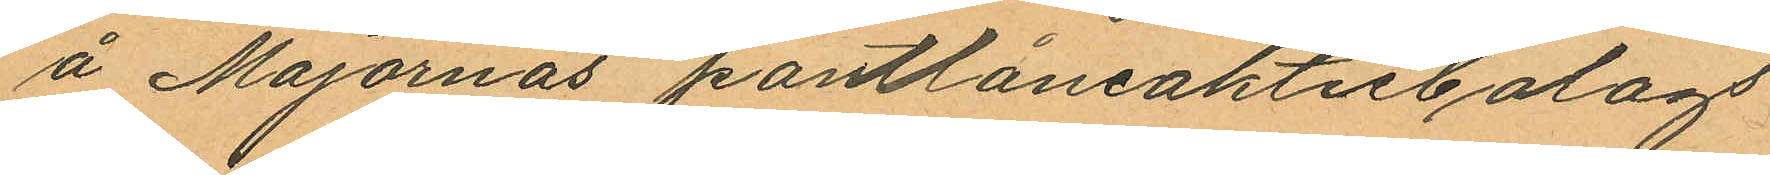å Majornas pantlåneaktiebolags
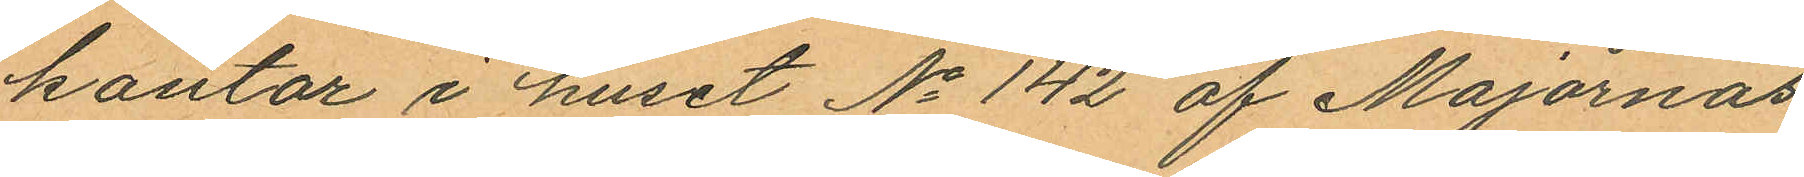kontor i huset No 142 af Majornas
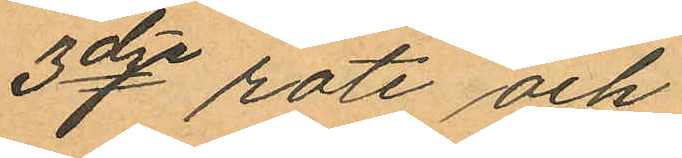3dje rote och
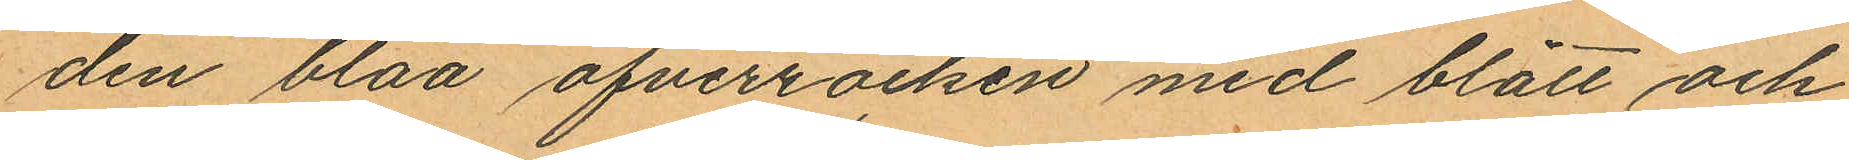den blåa öfverrocken med blått och
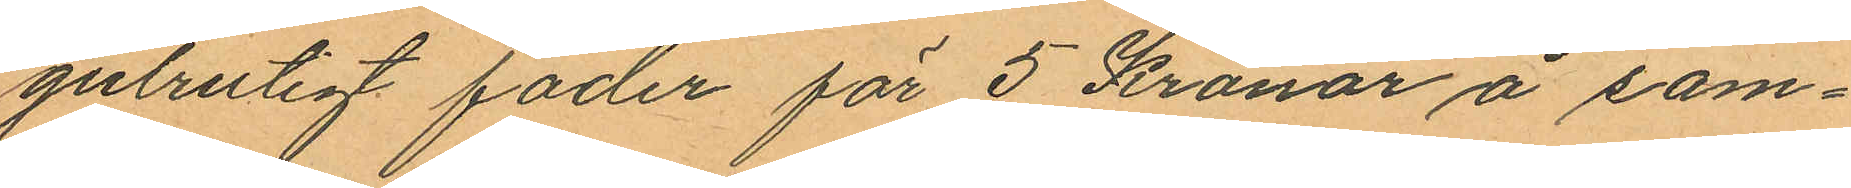gulrutigt foder för 5 Kronor å sam¬
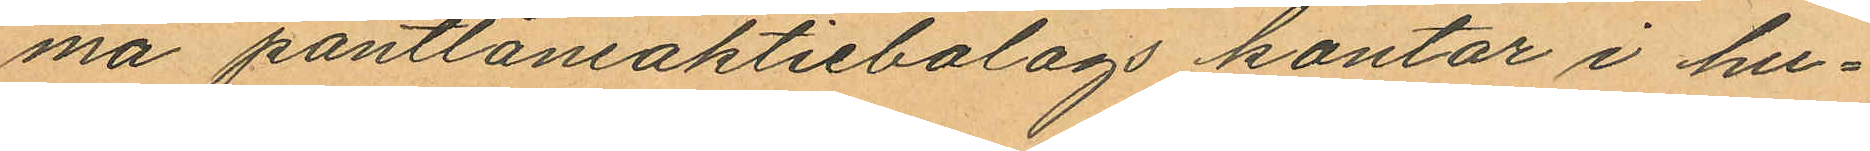ma pantlåneaktiebolags kontor i hu¬
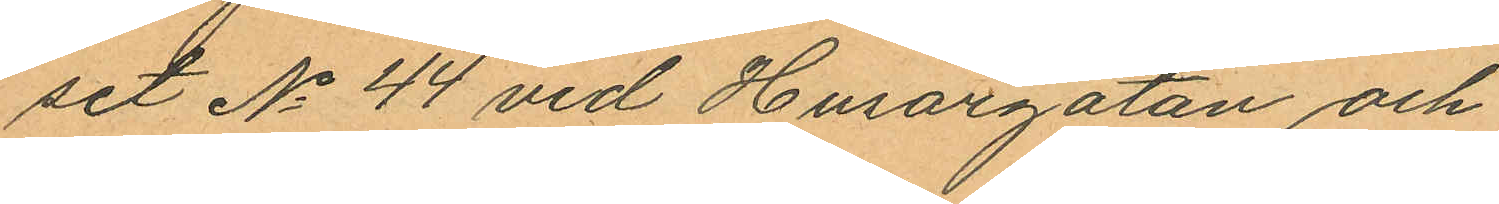set No 44 vid Husargatan och
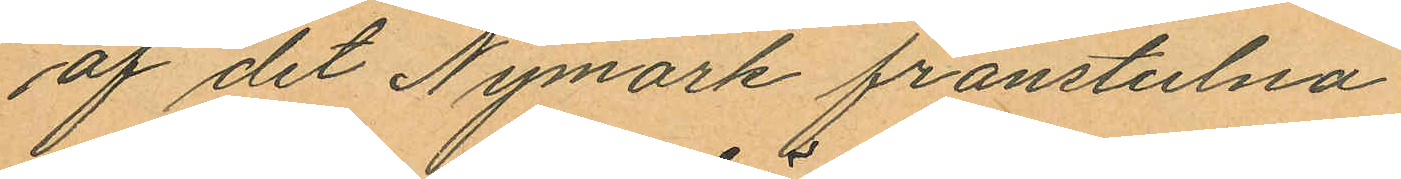af det Nymark frånstulna
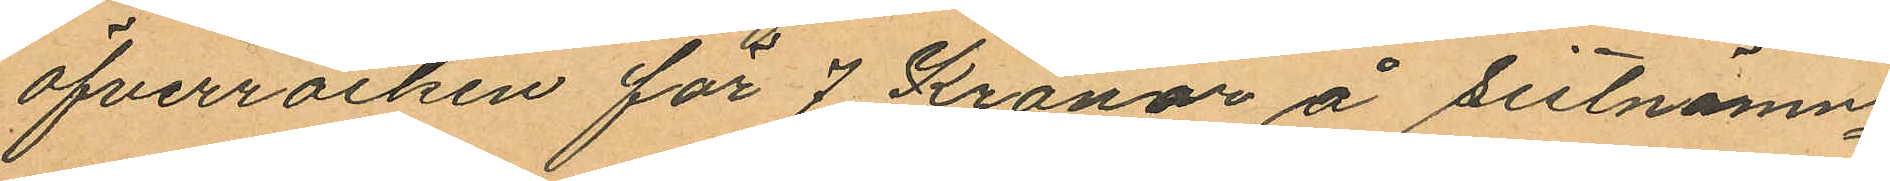öfverrocken för 7 Kronor å sistnämn¬
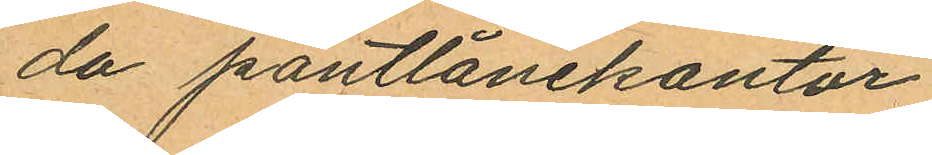da pantlånekontor
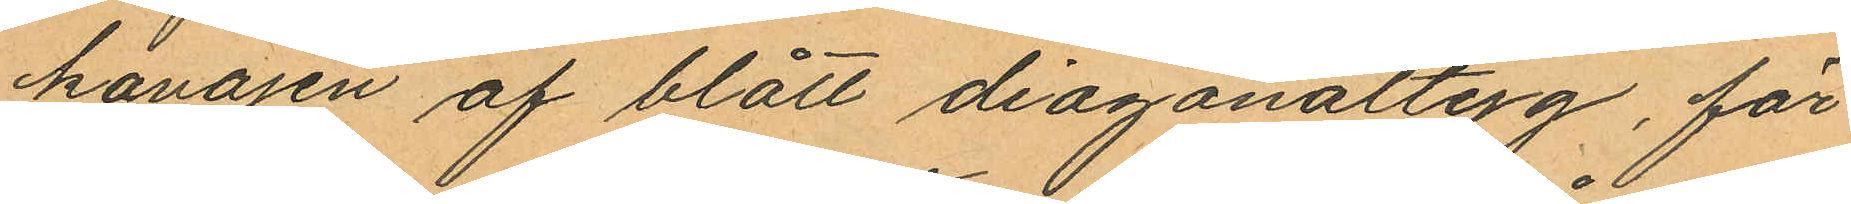kavajen af blått diagonaltyg, för
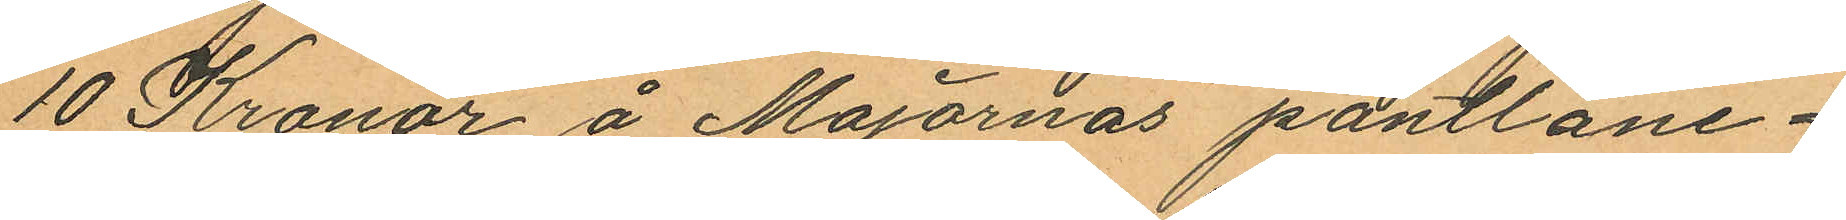10 Kronor å Majornas pantlåne¬
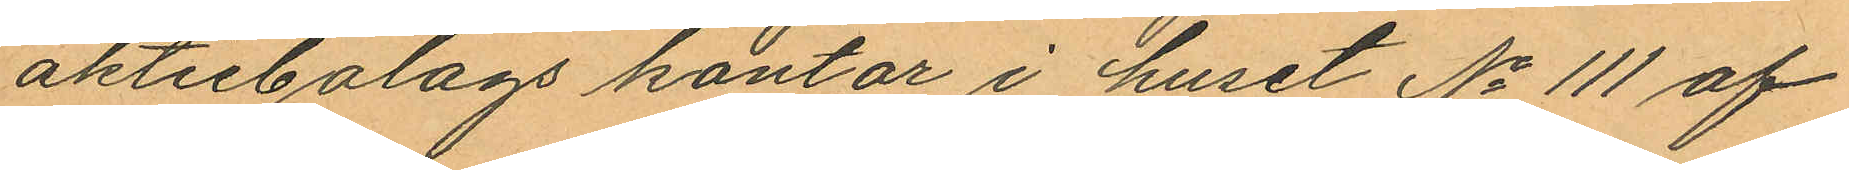aktiebolags kontor i huset No 111 af
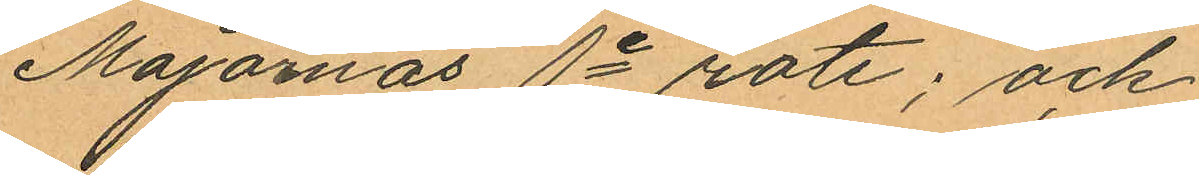Majornas 1e rote; och
